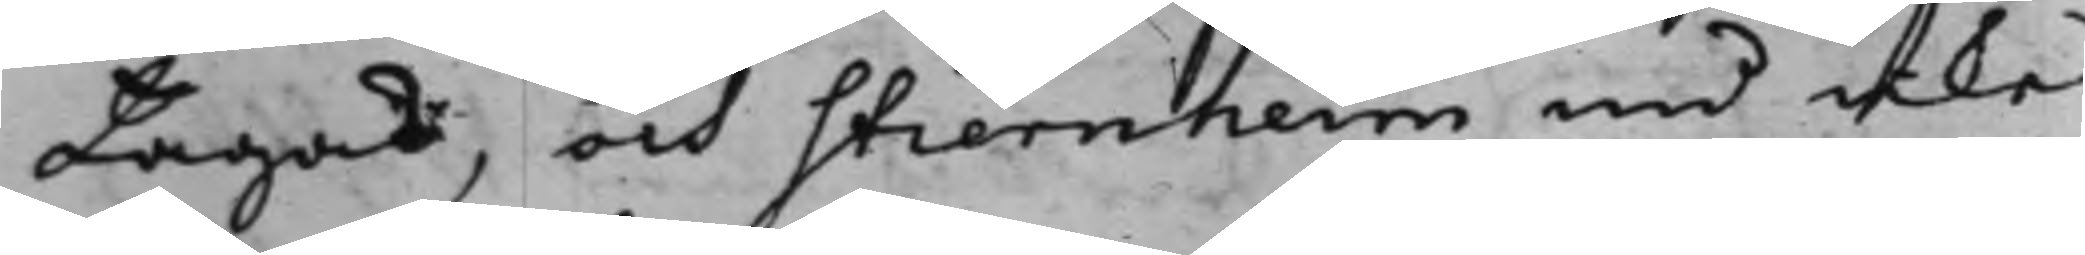tagas, och Stiernheim nu icke
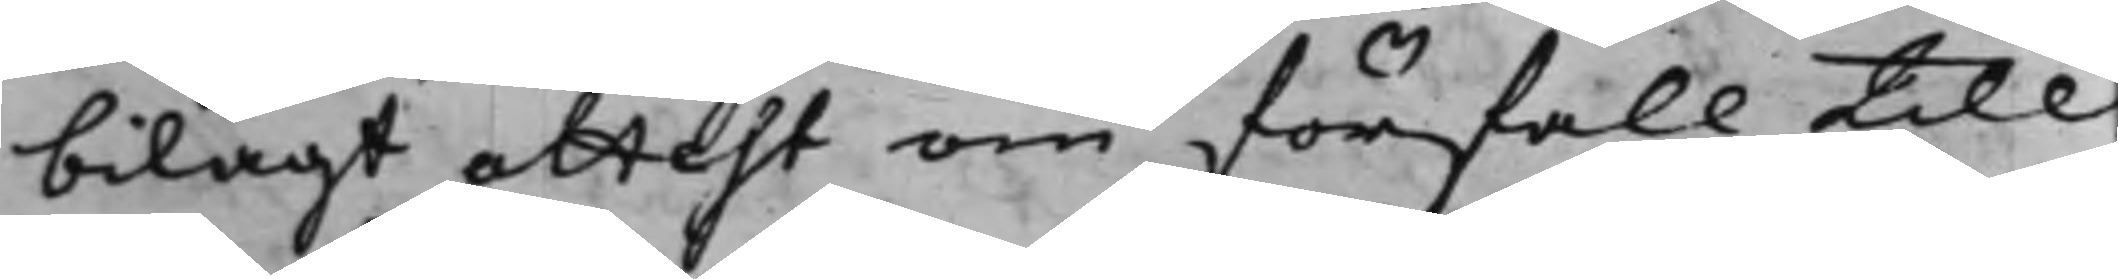bilagt attest om förfall till
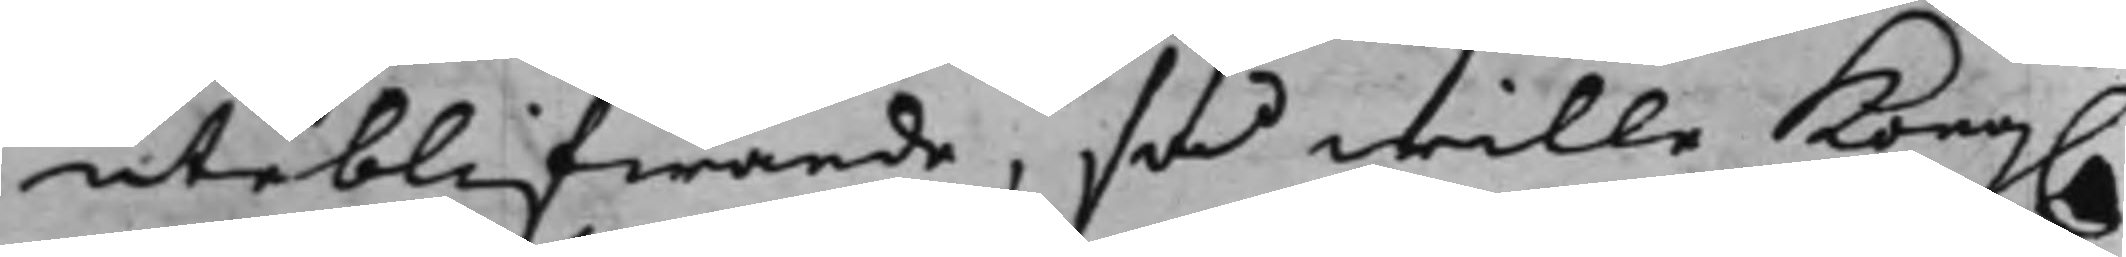uteblifwande, så wille Kong.
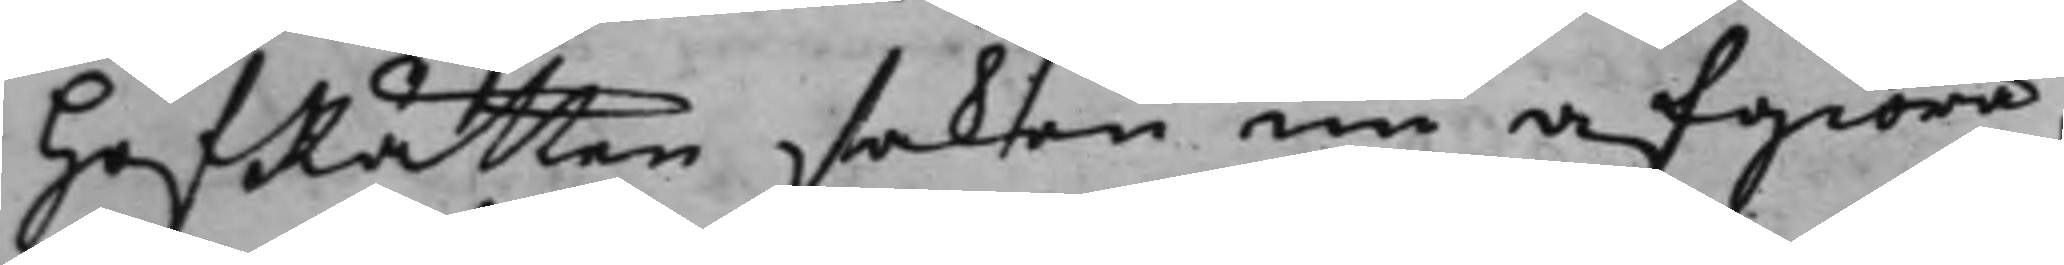HofRätten saken nu afgiöra,
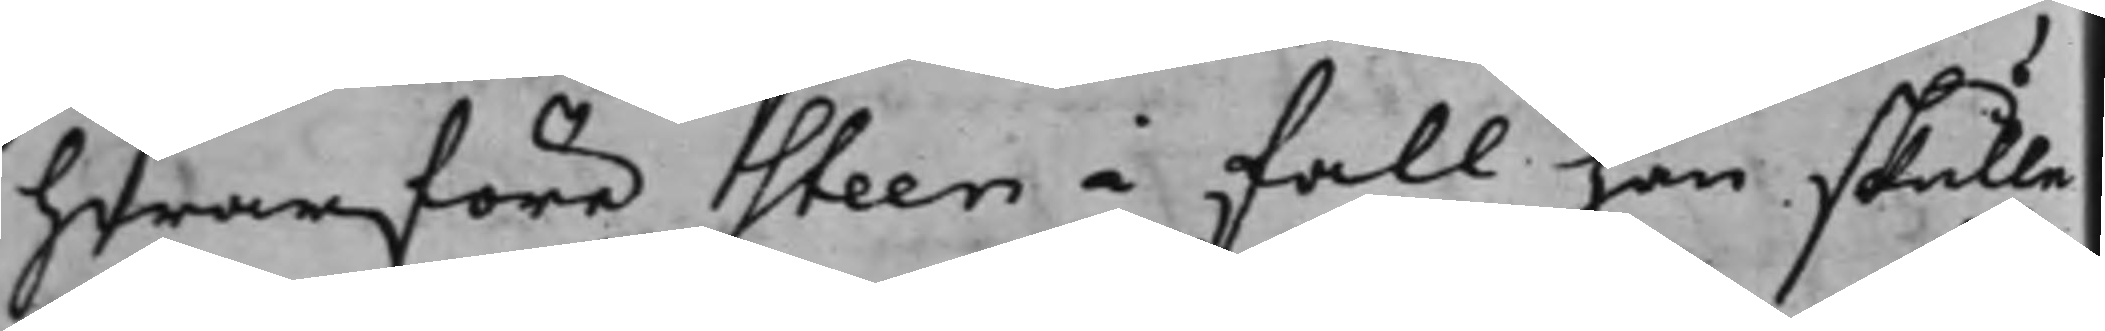hwarföre Steen i fall han skulle
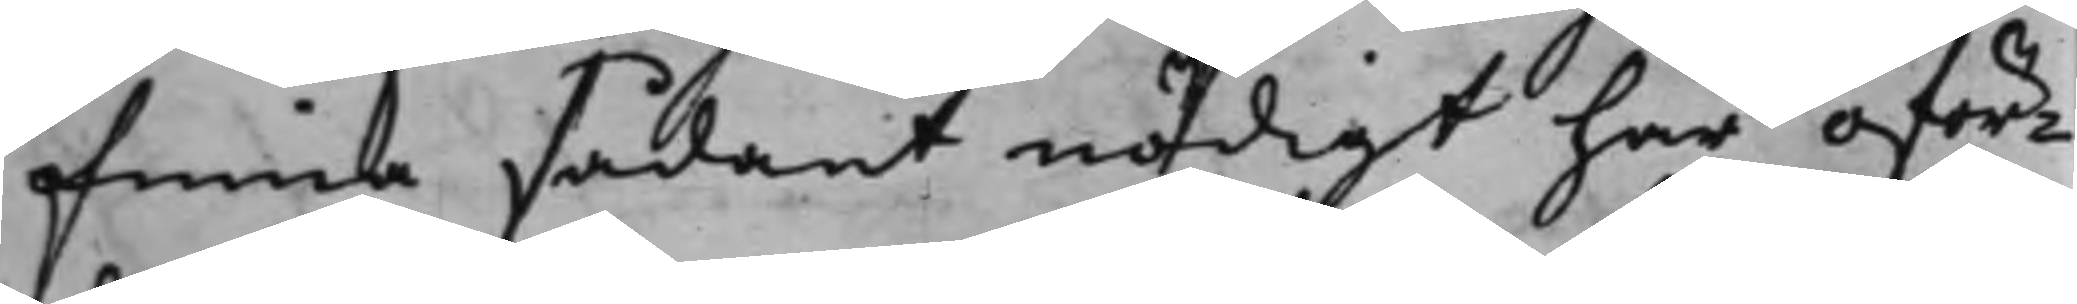finna sådant nödigt har oför¬
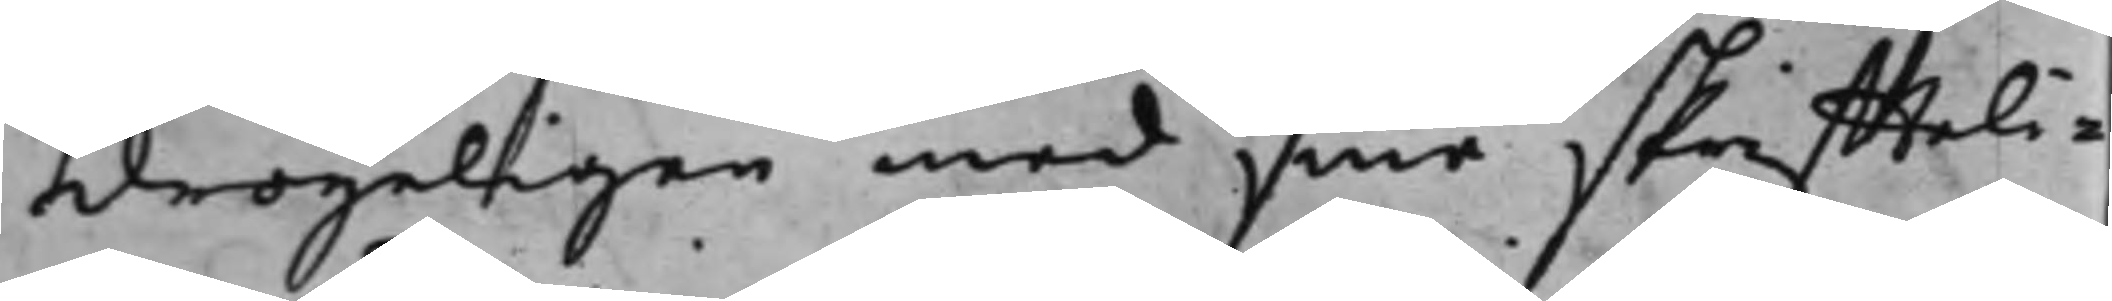dröyeligen med sine skriffteli¬
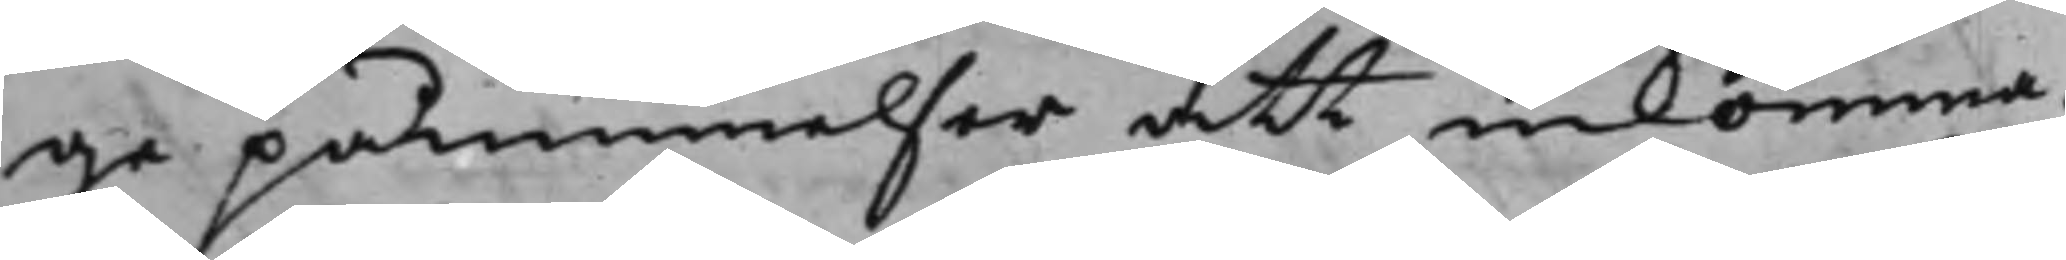ge påminnelser att inkomma.
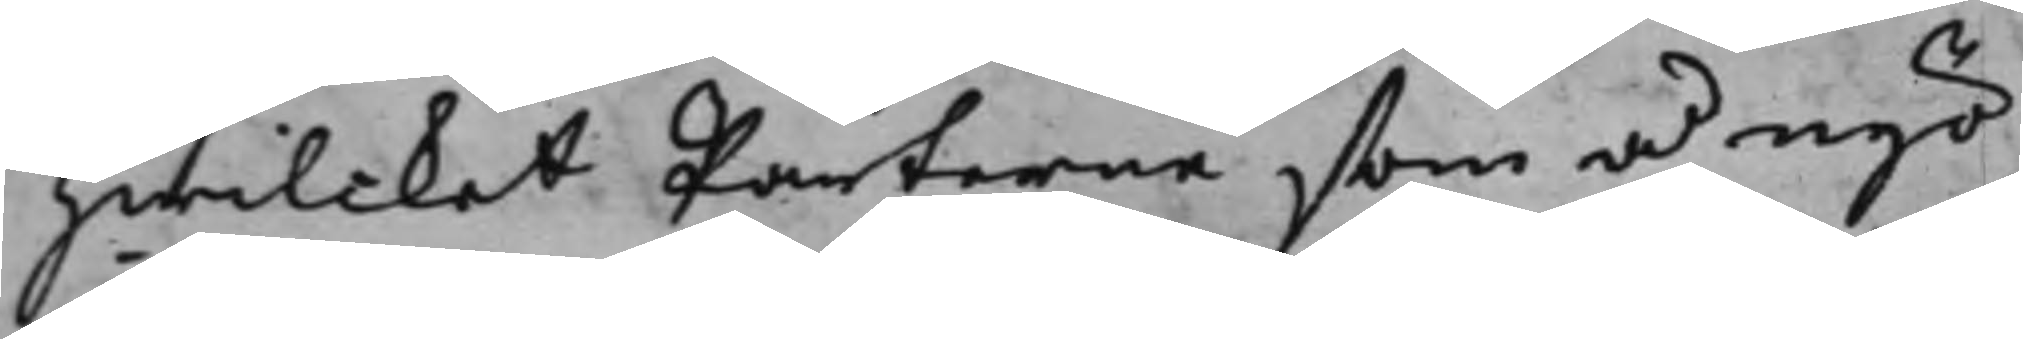Hwilcket Parterne som å nyo¬
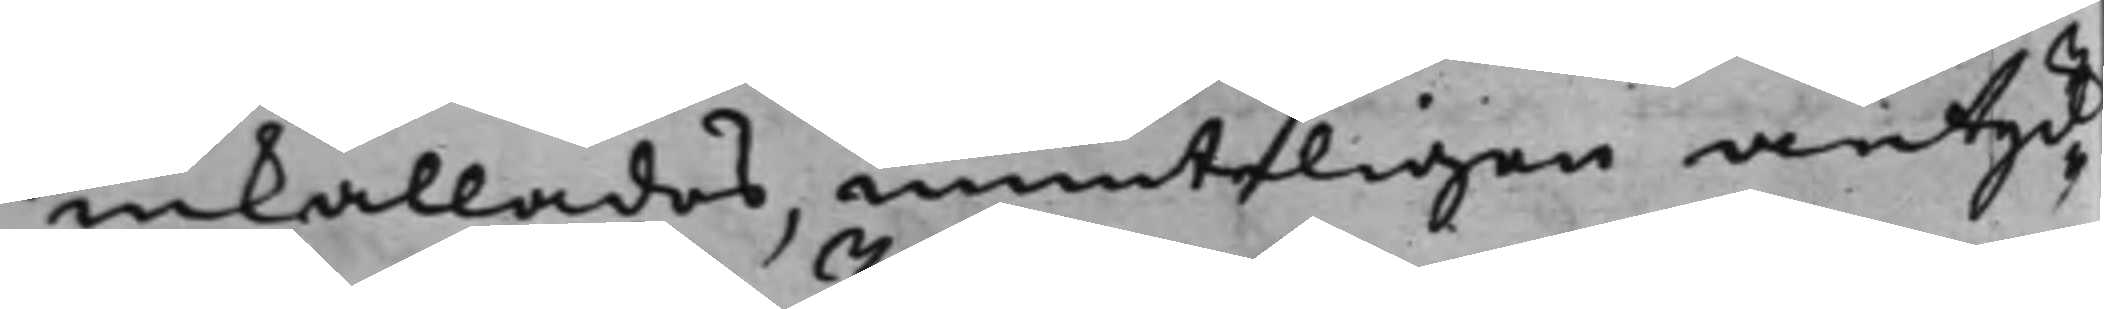inkallades, munteligen antyd¬
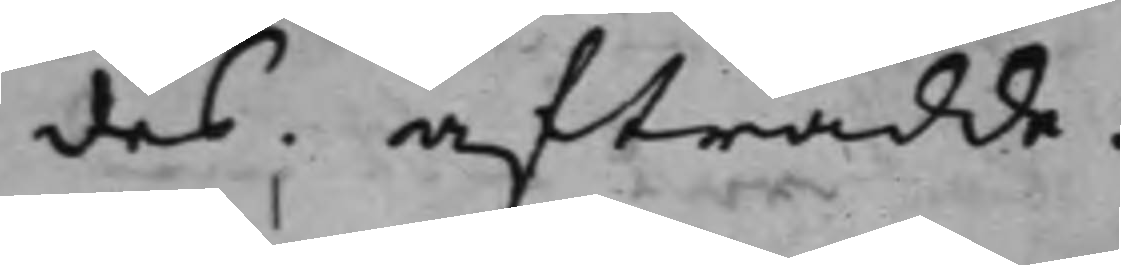des. afträdde.
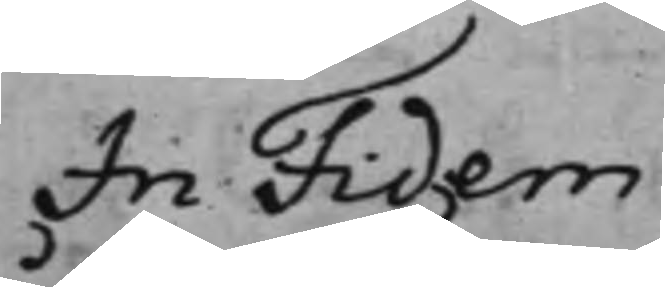In Fidem
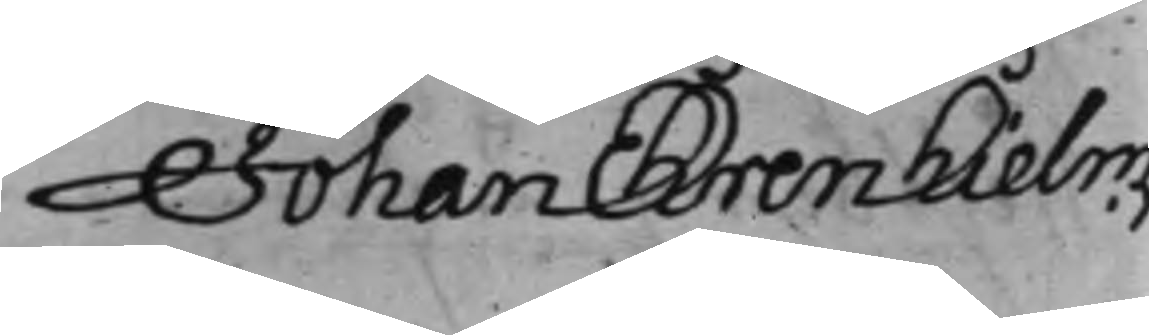Johan Ehrenhielm.
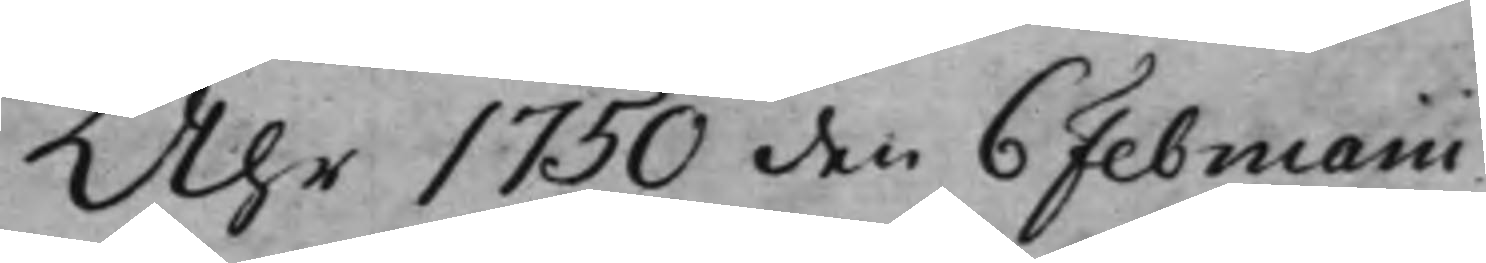Åhr 1750 den 6 Februarii
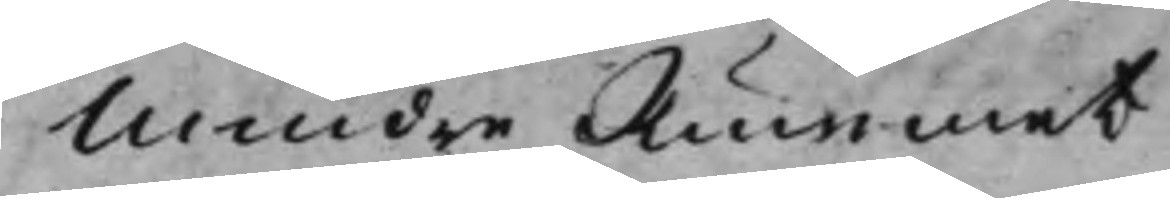Mindre Rummet
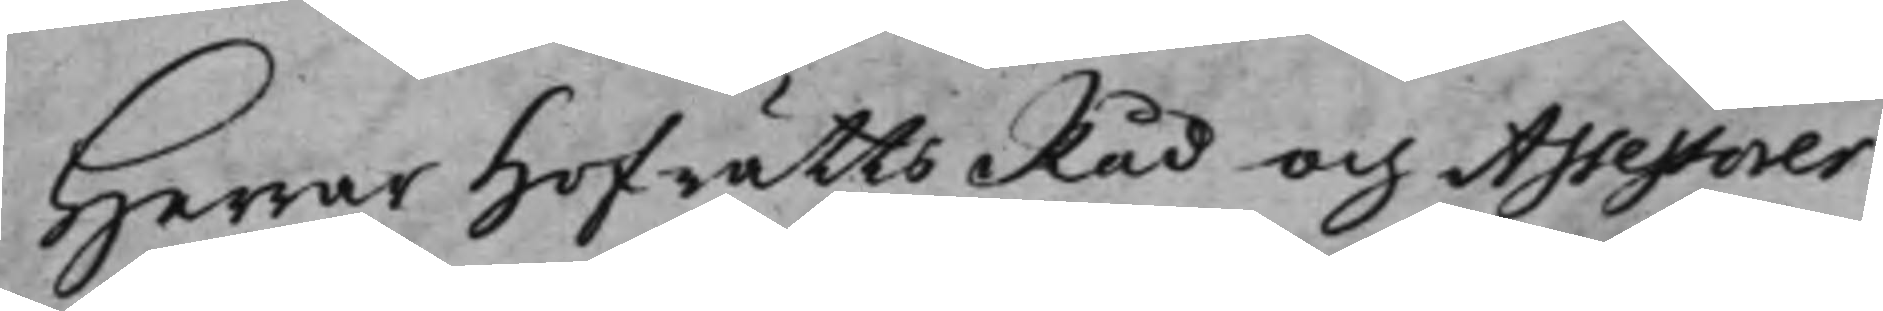Herrar HofrättsRåd och Assessorer
